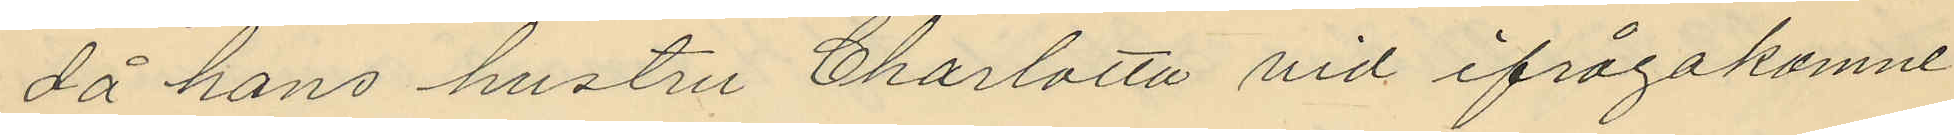då hans hustru Charlotta vid ifrågakomne
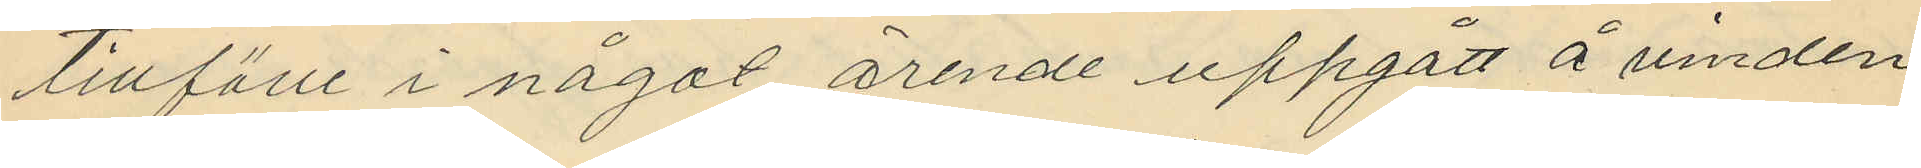tillfälle i något ärende uppgått å vinden
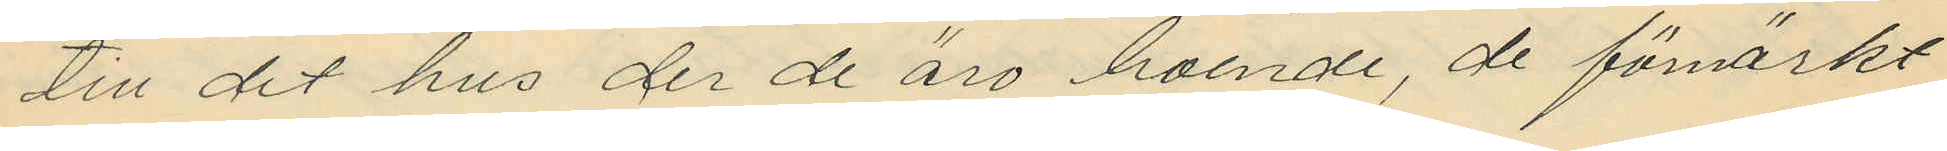till det hus der de äro boende, de förmärkt
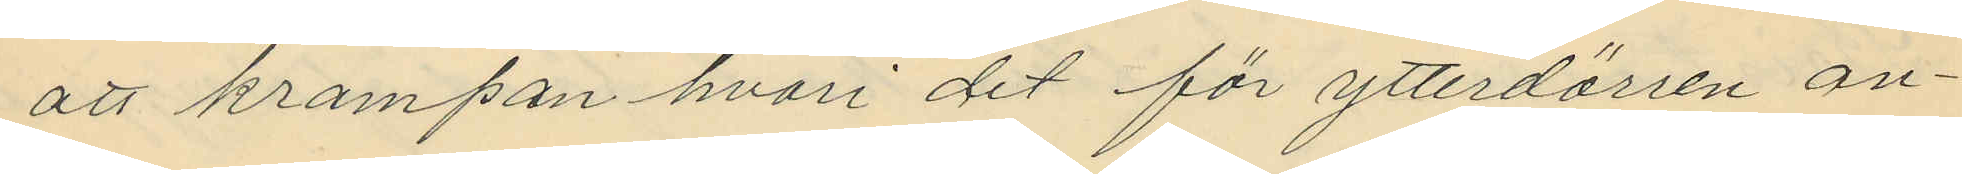att krampan hvari det för ytterdörren an¬
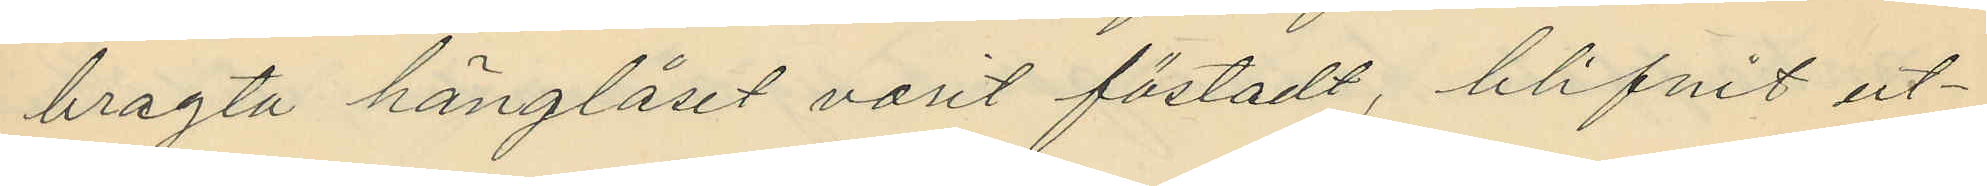bragta hänglåset varit fästadt, blifvit ut¬
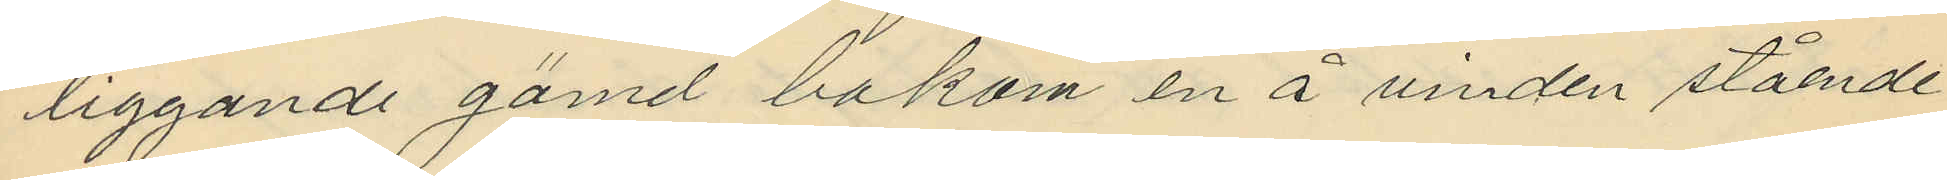liggande gömd bakom en å vinden stående
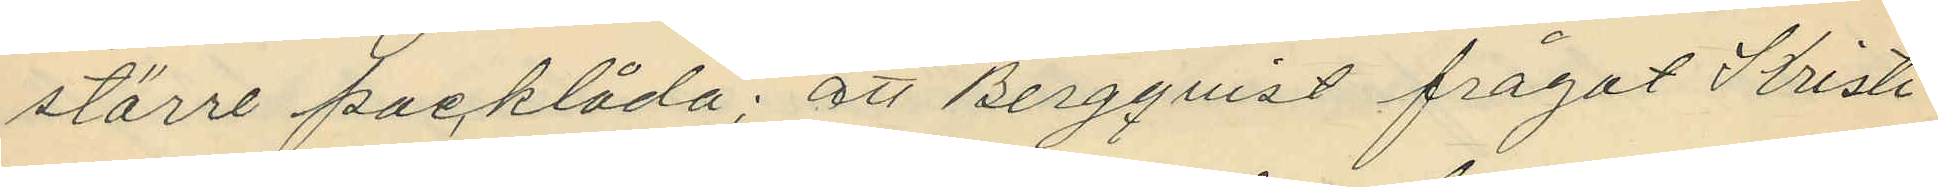större packlåda; att Bergqvist frågat Kristi
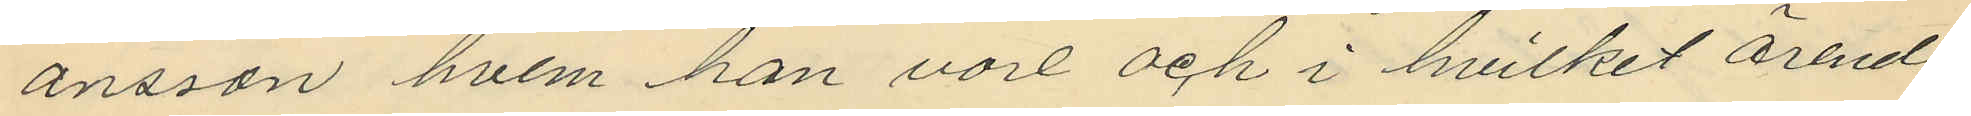ansson hvem han vore och i hvilket ärende
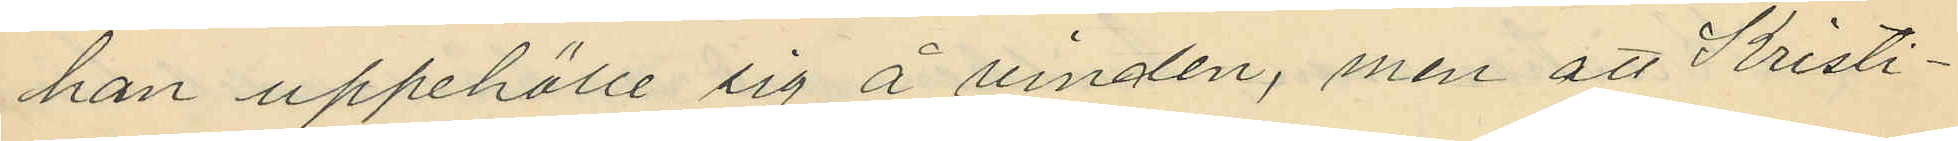han uppehölle sig å vinden, men att Kristi¬
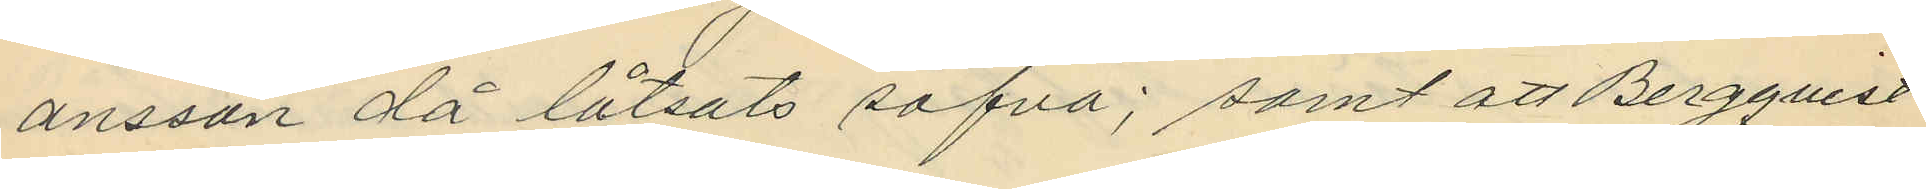ansson då låtsats sofva; samt att Bergqvist
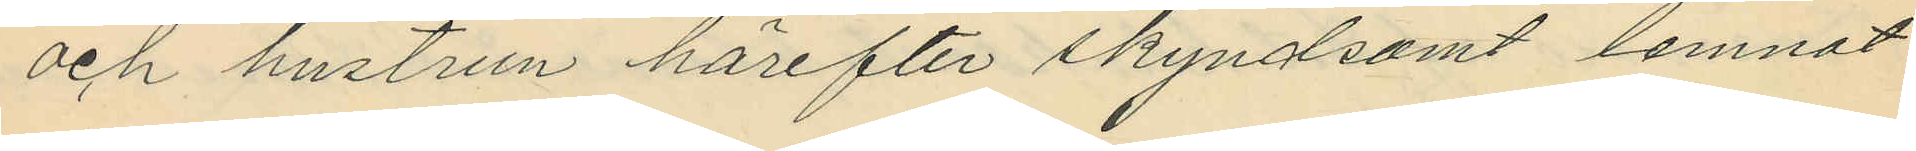och hustrun härefter skyndsamt lemnat
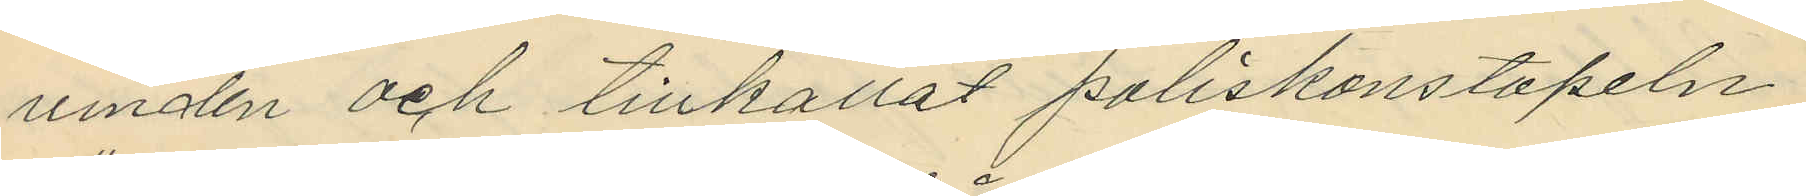vinden och tillkallat poliskonstapeln
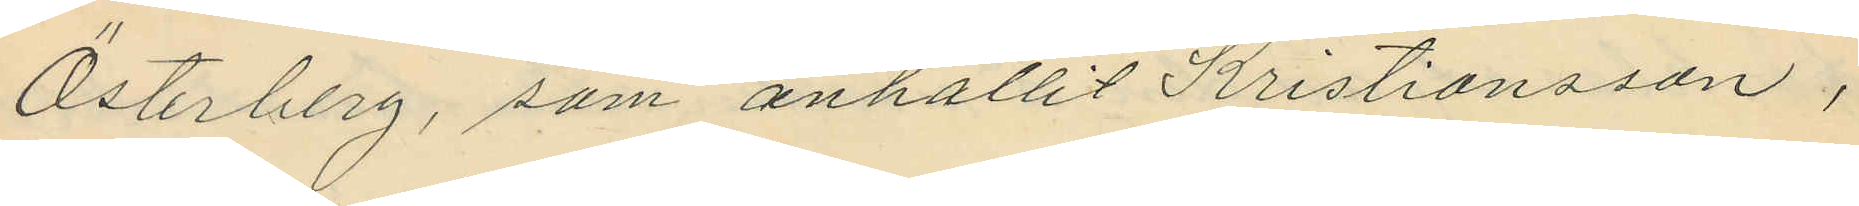Österberg, som anhållit Kristiansson,
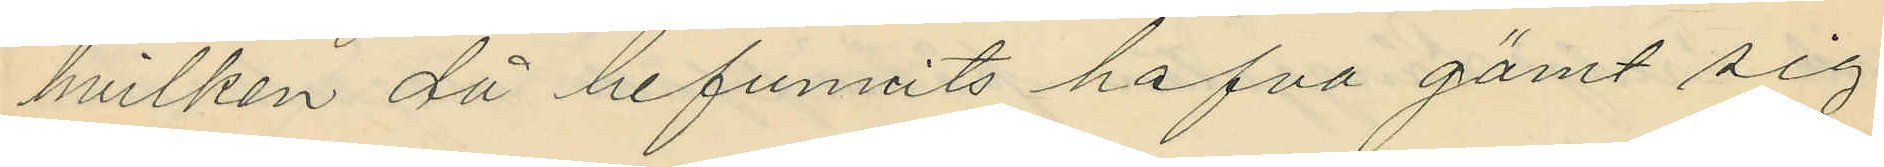hvilken då befunnits hafva gömt sig
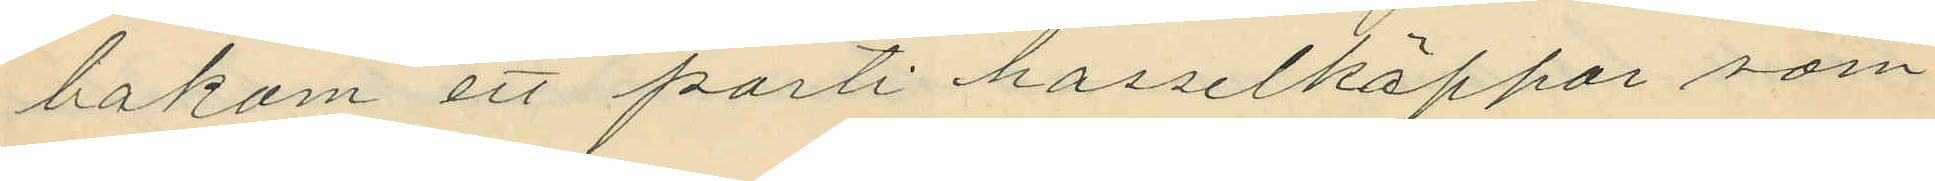bakom ett parti hasselkäppar som
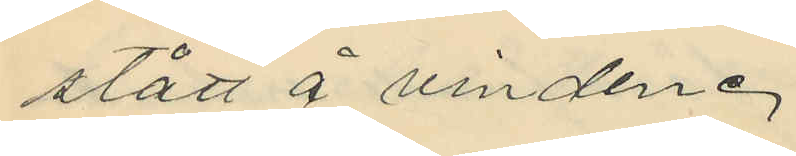stått å vinden.
